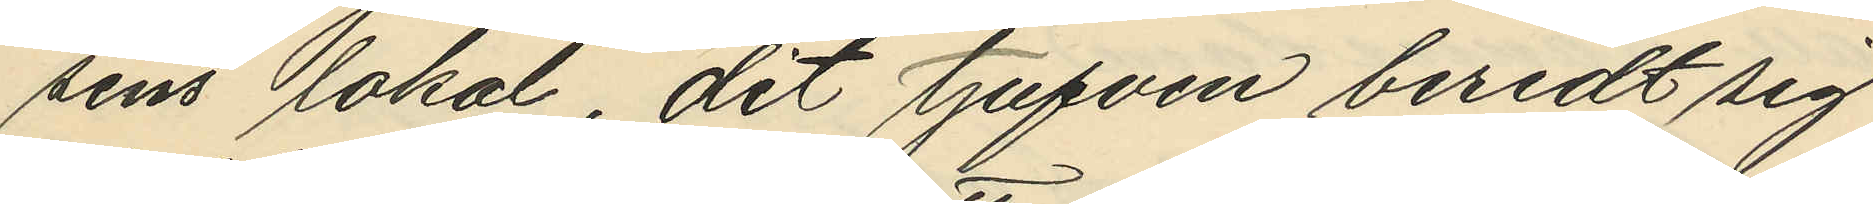sens lokal, dit tjufven beredt sig
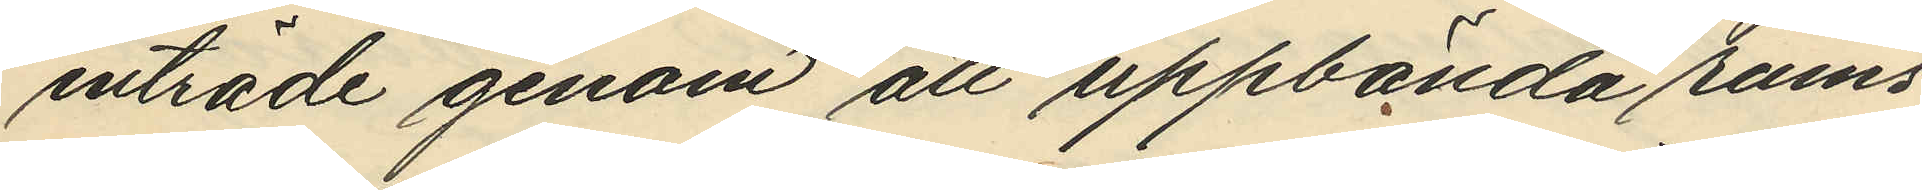inträde genom att uppbända rums¬
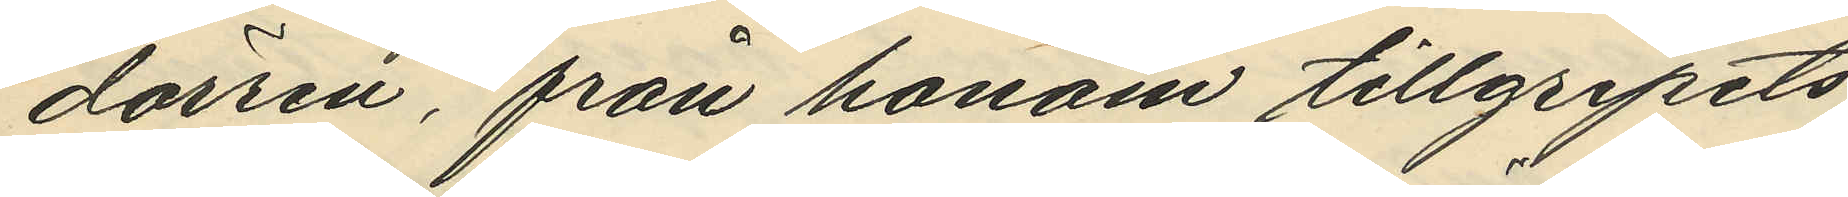dörren, från honom tillgripits
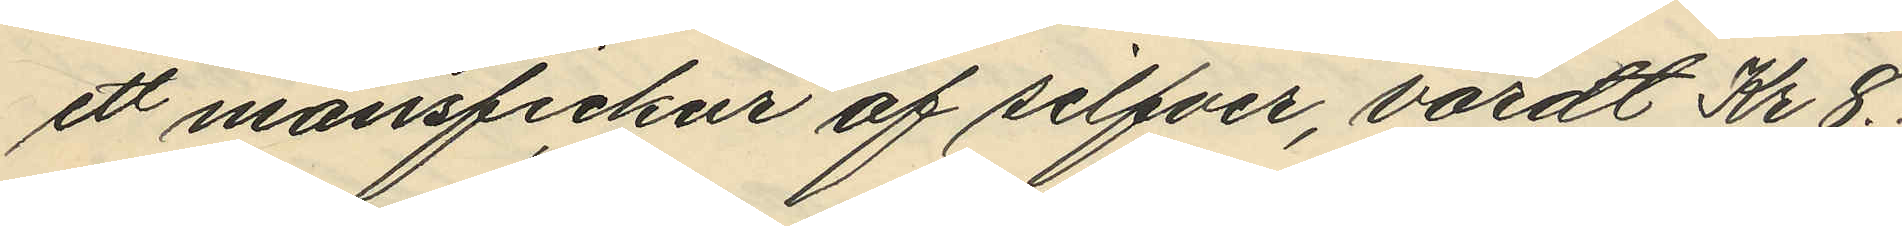ett mansfickur af silfver, värdt Kr 8. 
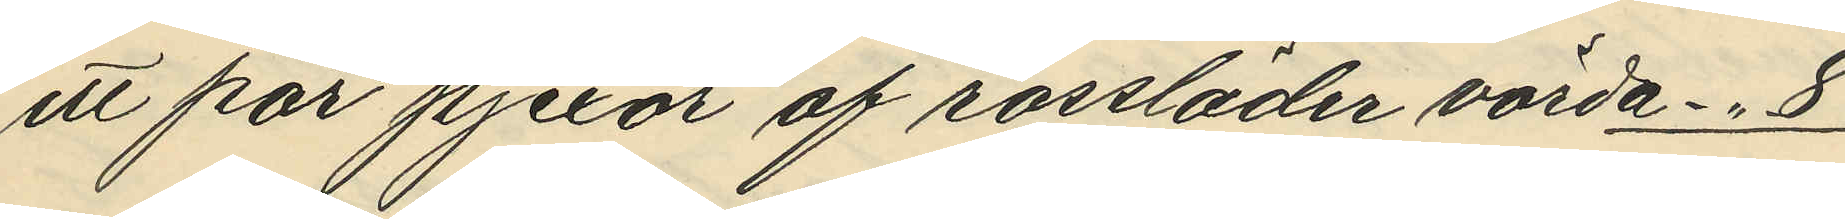ett par pjexor af rossläder värda -"- 8
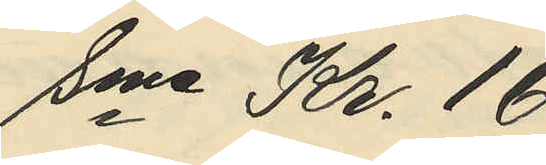Sma Kr. 16
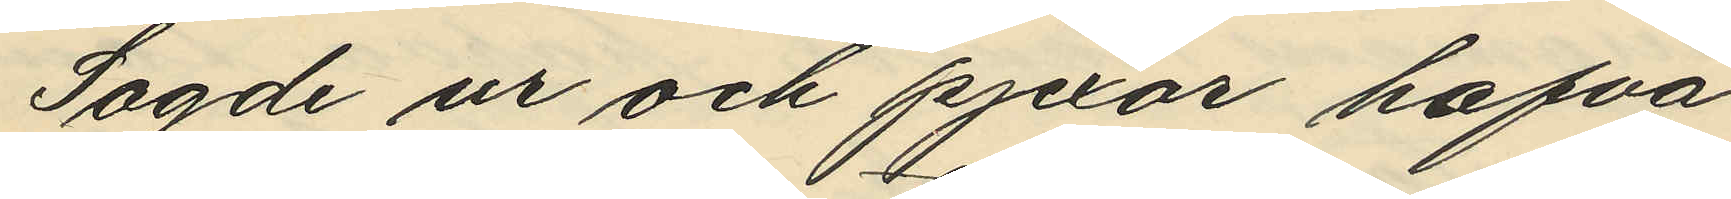Sagde ur och pjexor hafva
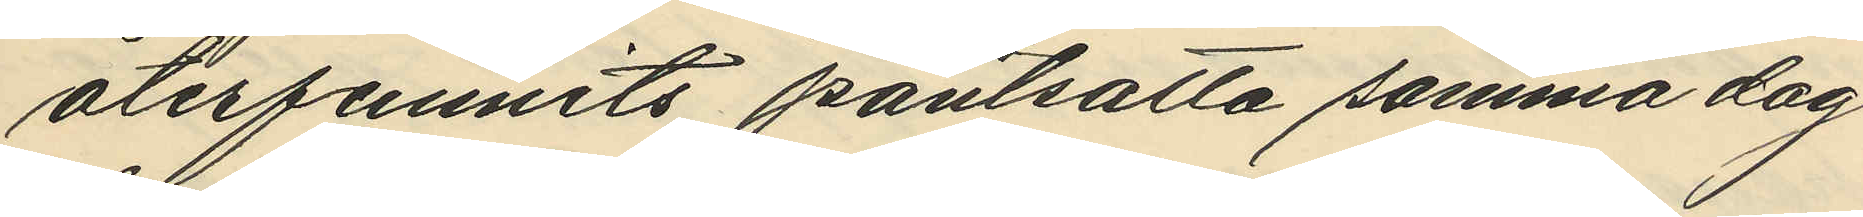återfunnits pantsatta samma dag
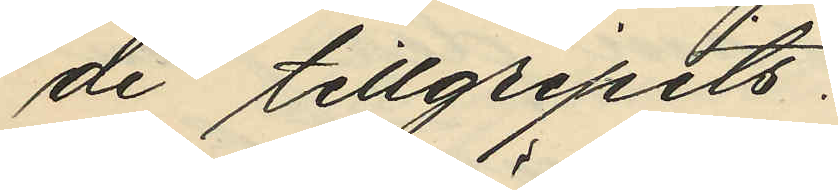de tillgripits:
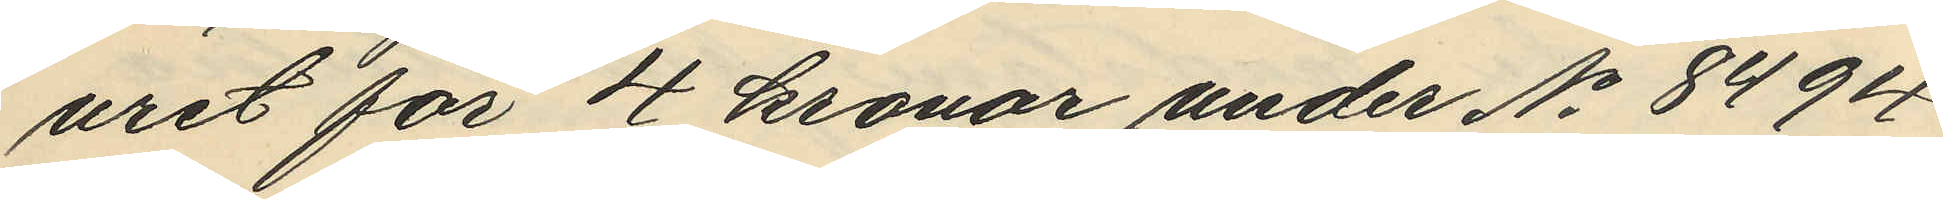uret för 4 kronor under No 8494
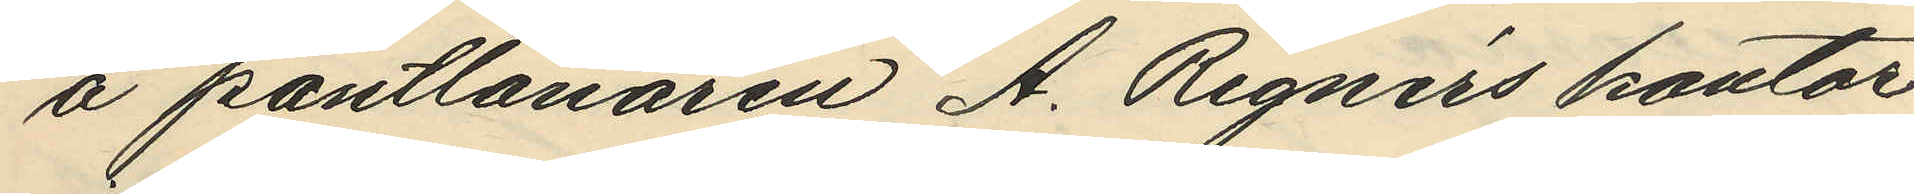å pantlånaren A. Rignérs kontor
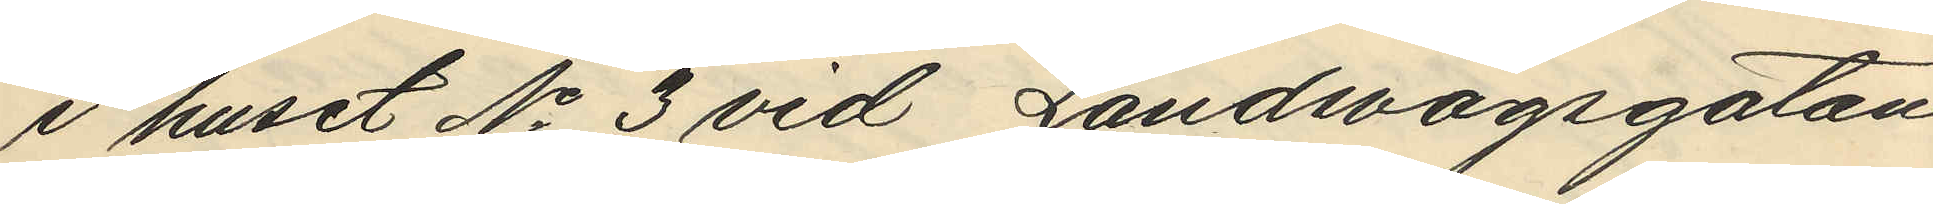i huset No 3 vid Landsvägsgatan
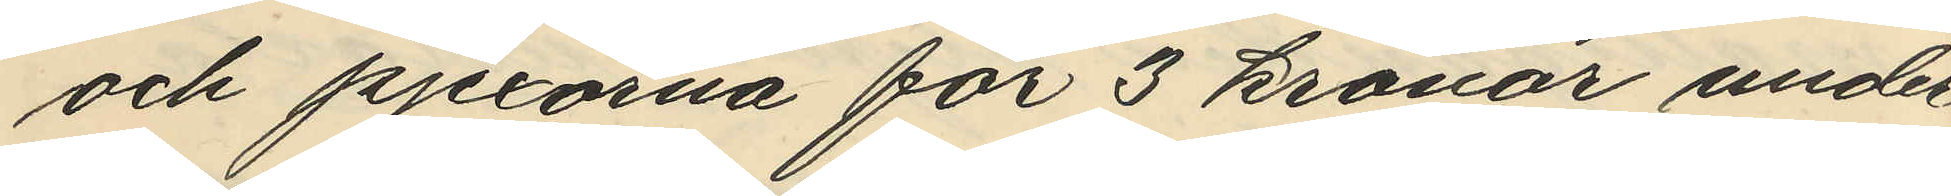och pjexorna för 3 kronor under
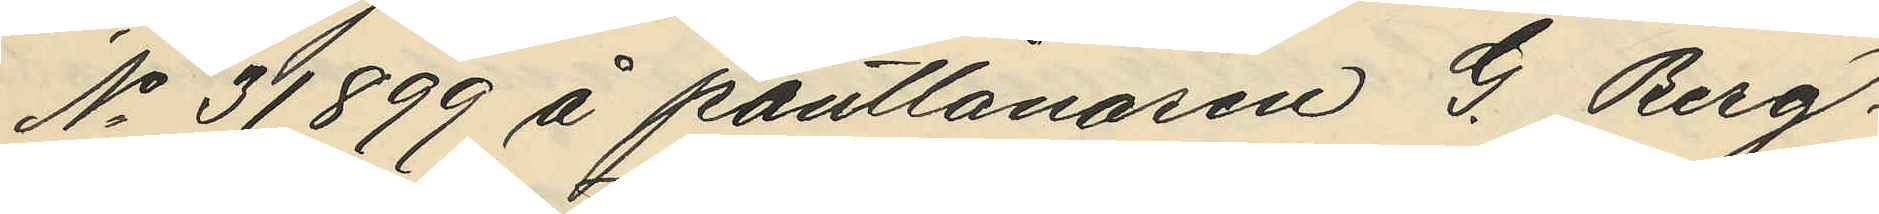No 31899 å pantlånaren G. Berg¬
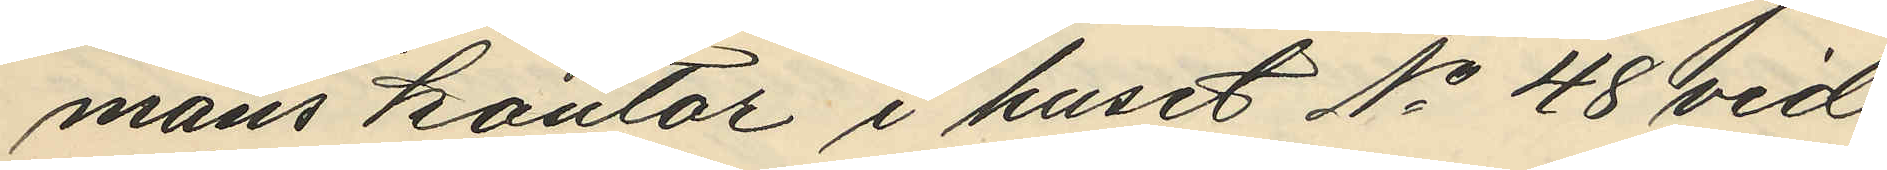mans kontor i huset No 48 vid
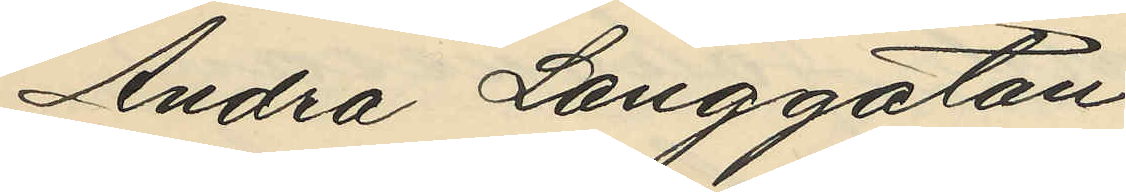Andra Långgatan
